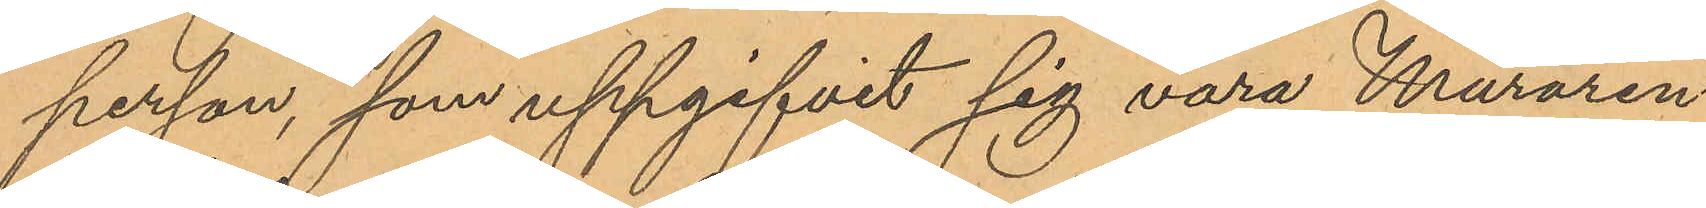person, som uppgifvit sig vara Muraren
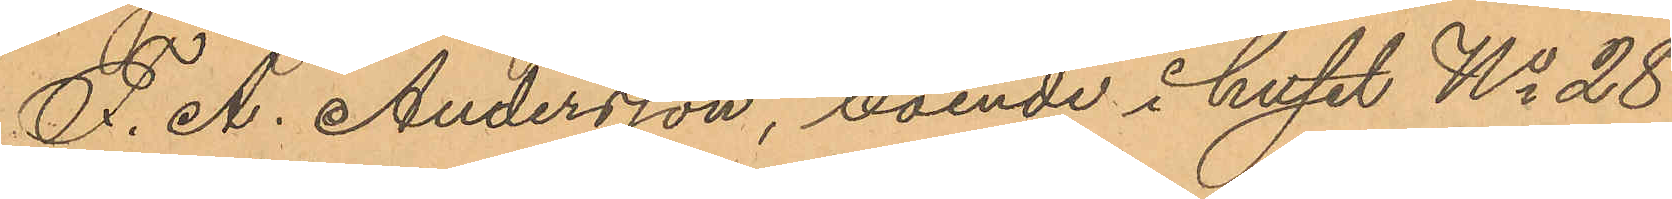F. A. Andersson, boende i huset No 28
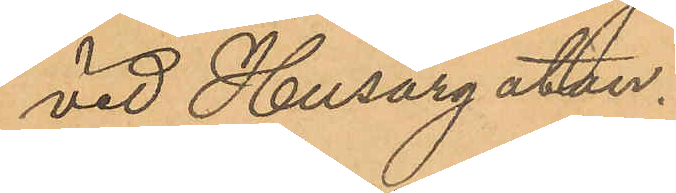vid Husargatan.
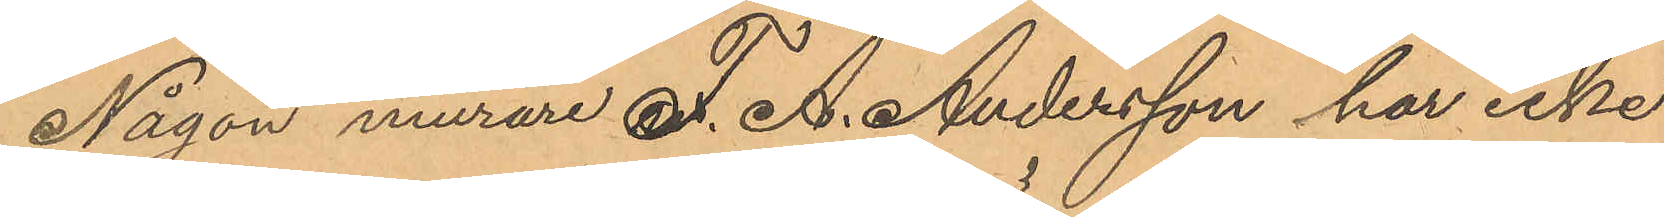Någon murare F. A. Andersson har icke
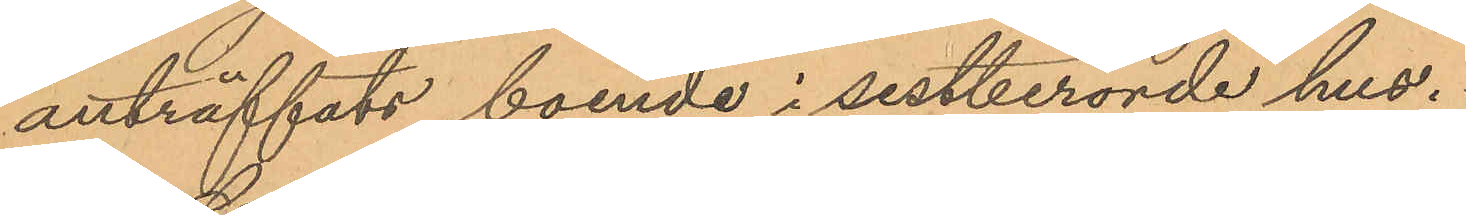anträffats boende i sistberörde hus.
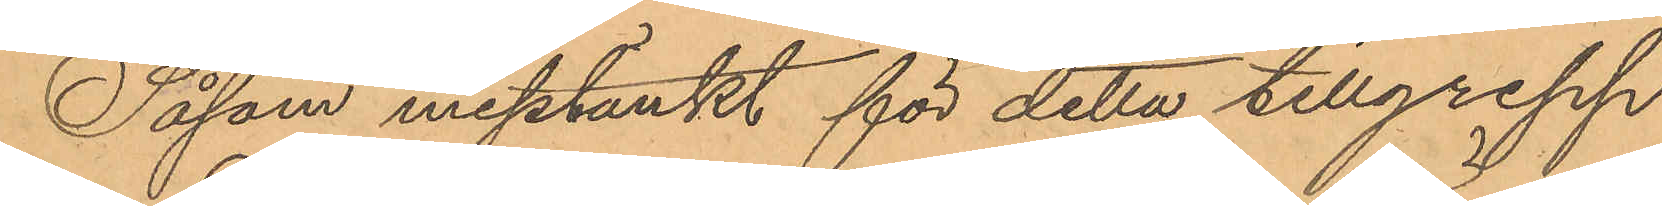Såsom misstänkt för detta tillgrepp
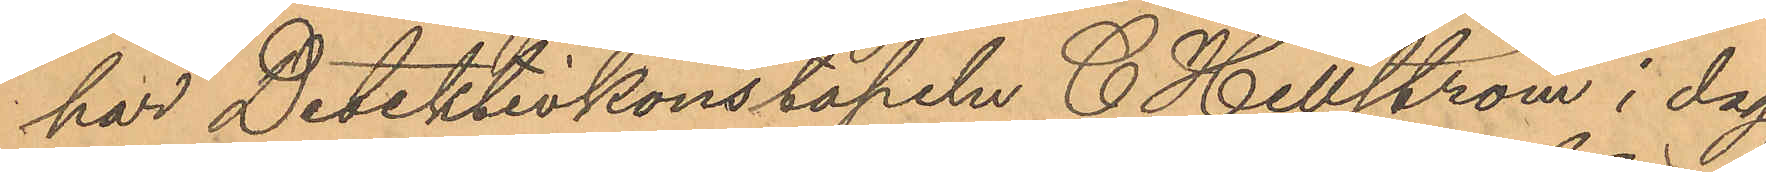har Detektivkonstapeln C. Hellström i dag
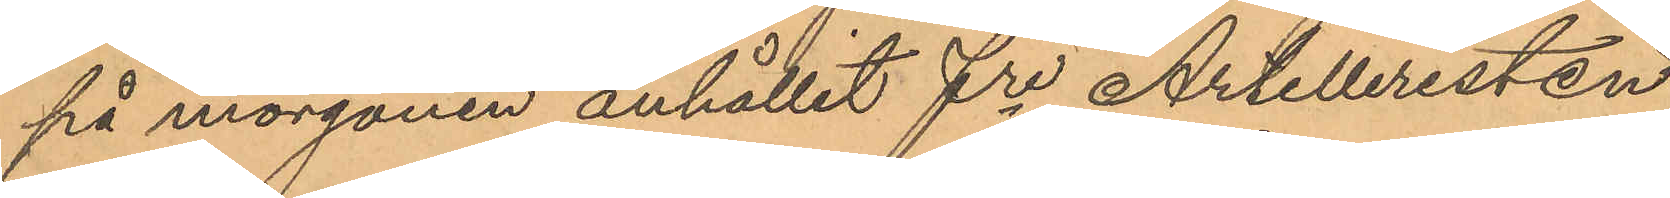på morgonen anhållit fre Artilleristen
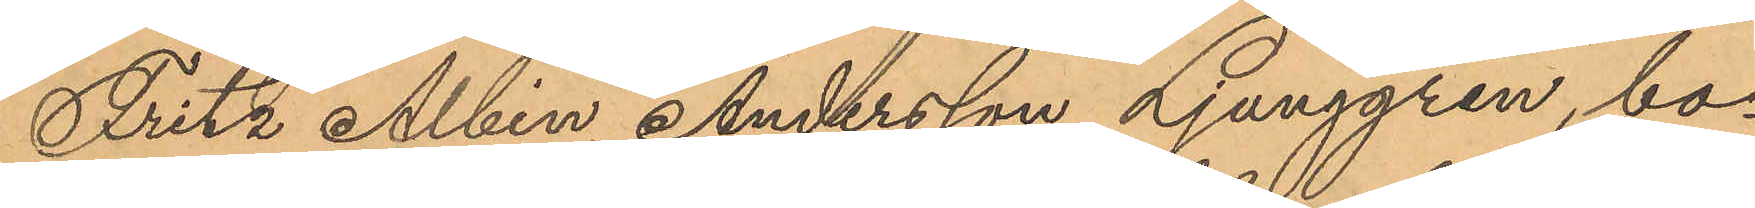Fritz Albin Andersson Ljunggren, bo¬
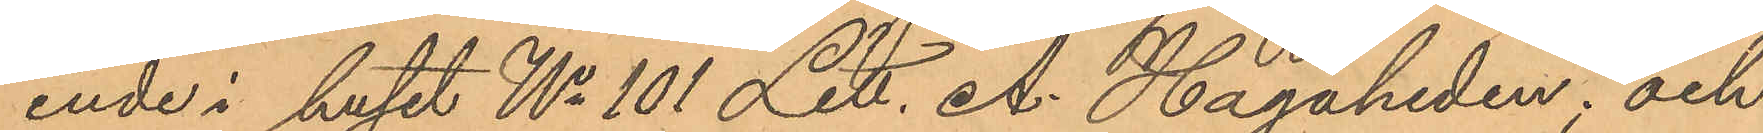ende i huset No 101 Litt. A. Hagaheden; och
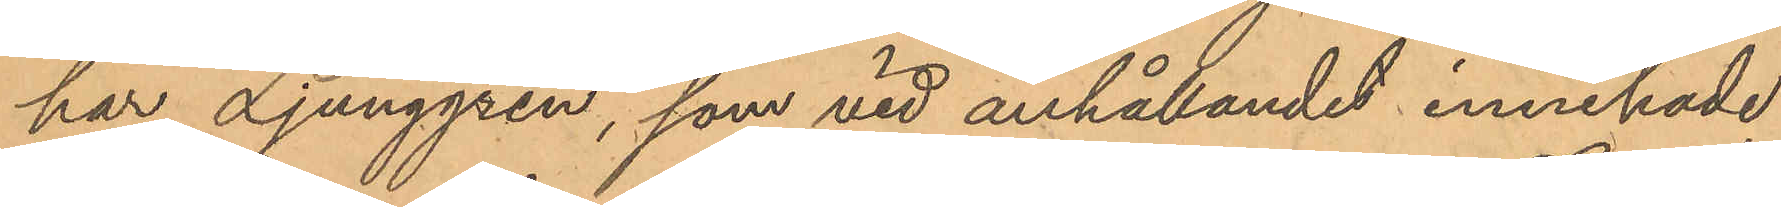har Ljunggren, som vid anhållandet innehade
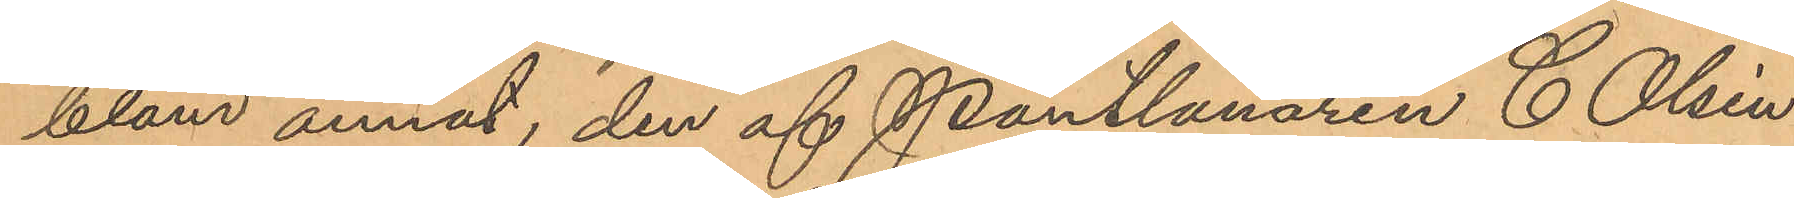bland annat, den af Pantlånaren C. Olsén
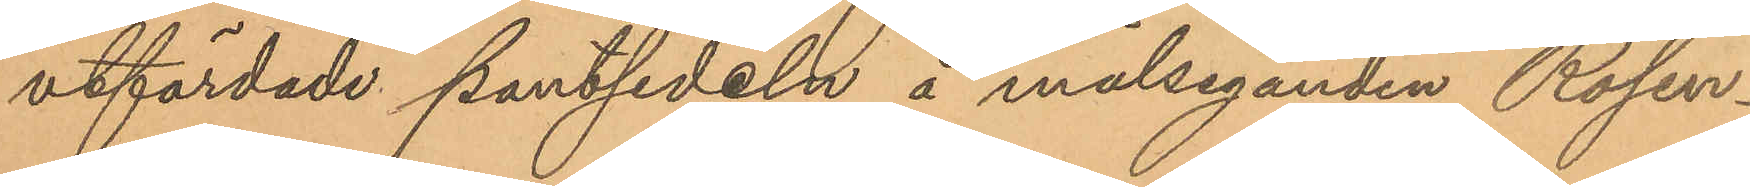utfärdade pantsedeln å målseganden Rosen¬
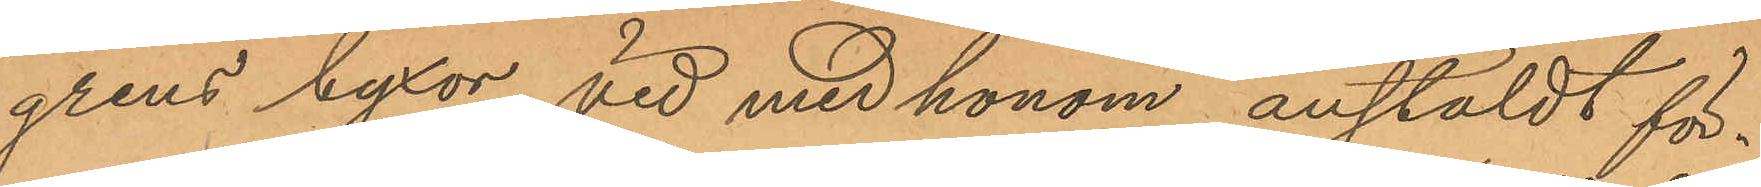grens byxor, vid med honom anstäldt för¬
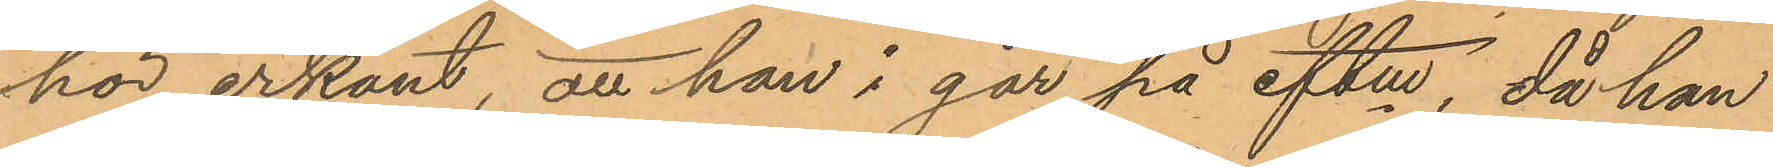hör erkänt, att han i går på eftm, då han
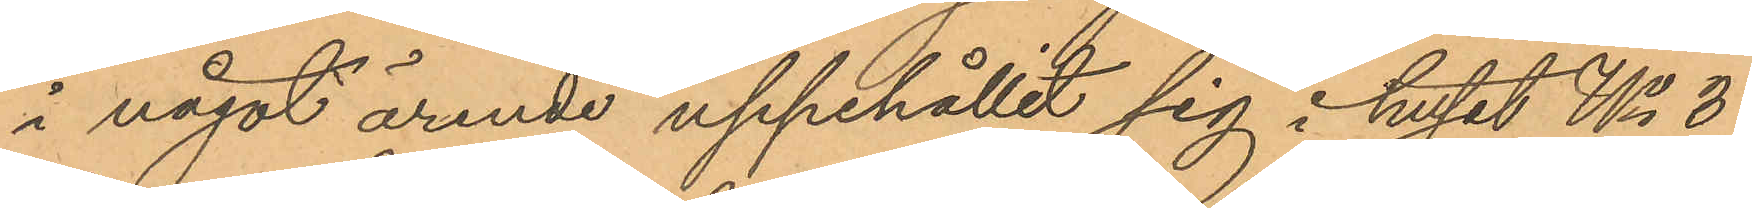i något ärende uppehållit sig i huset No 3
